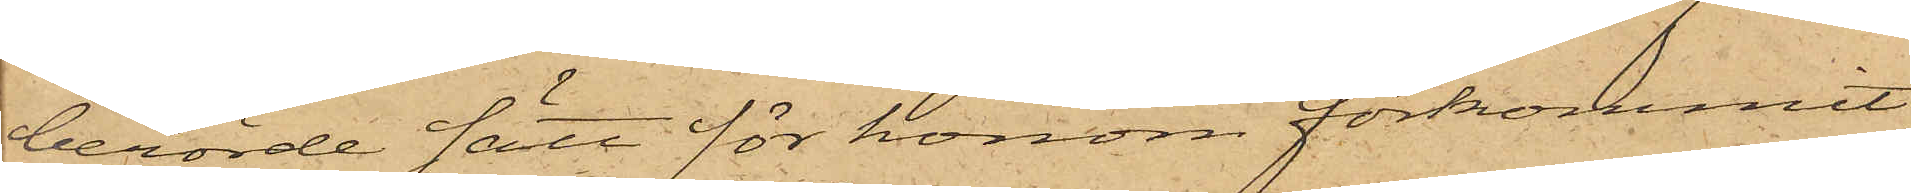berörde sätt för honom förkommit,
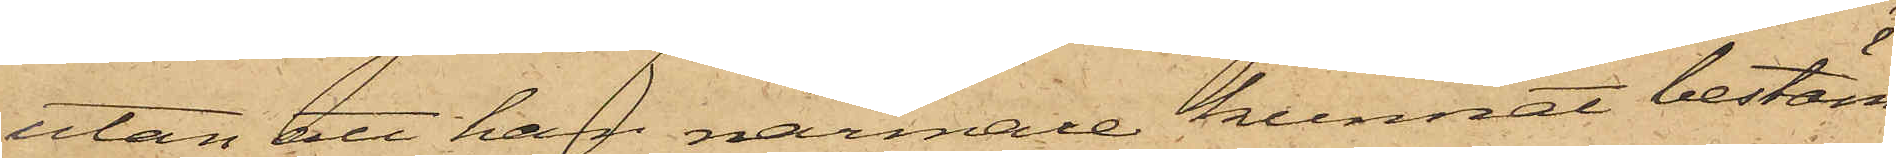utan att han närmare kunnat bestäm¬
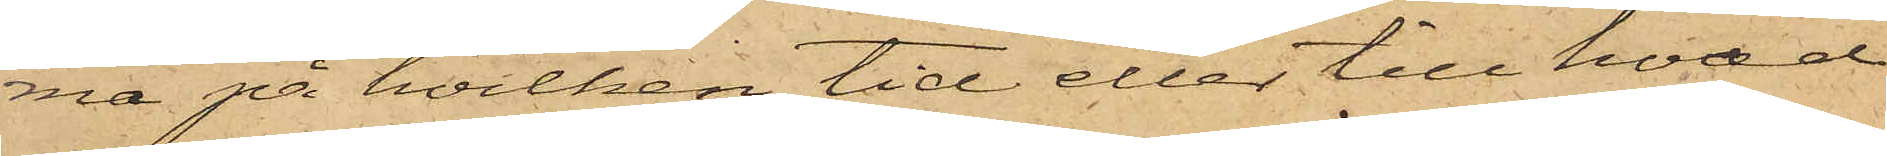ma på hvilken tid eller till hvad
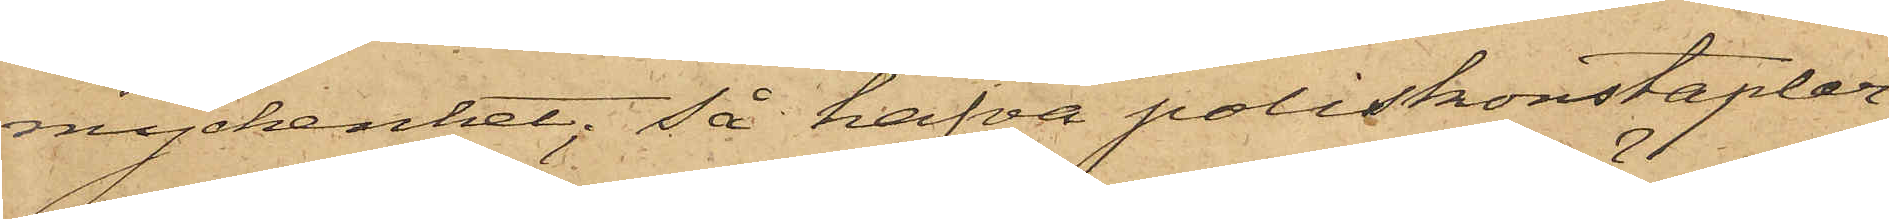myckenhet; så hafva poliskonstaplar¬
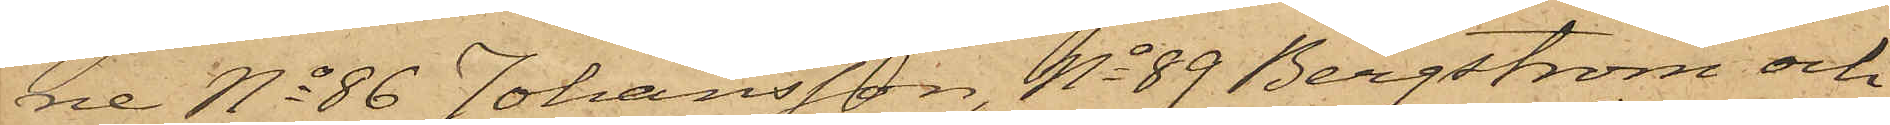ne No 86 Johansson, No 89 Bergström och
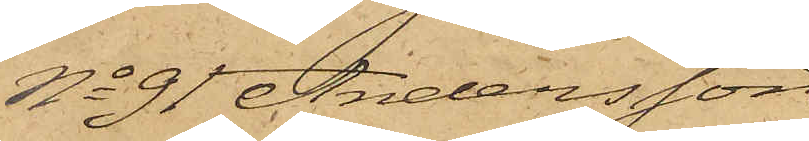No 91 Andersson
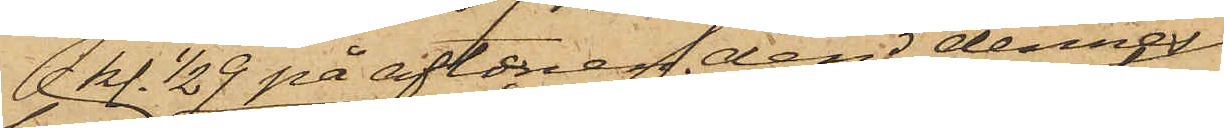kl. 1/2 9 på aftonen den dennes
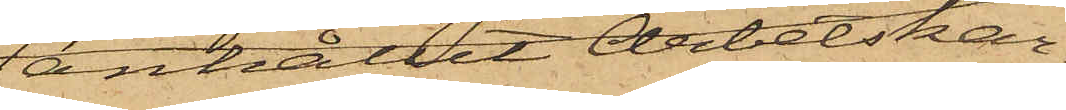anhållit Arbetskar¬
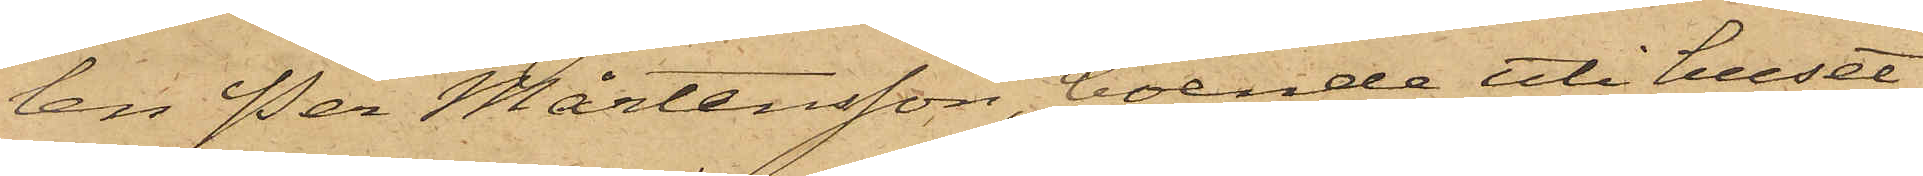len Per Mårtensson, boende uti huset
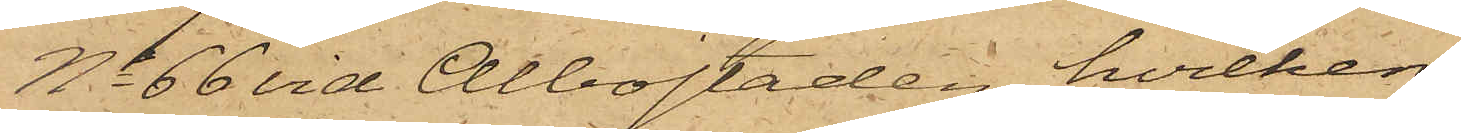No 66 vid Albostaden, hvilken
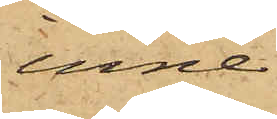inne¬
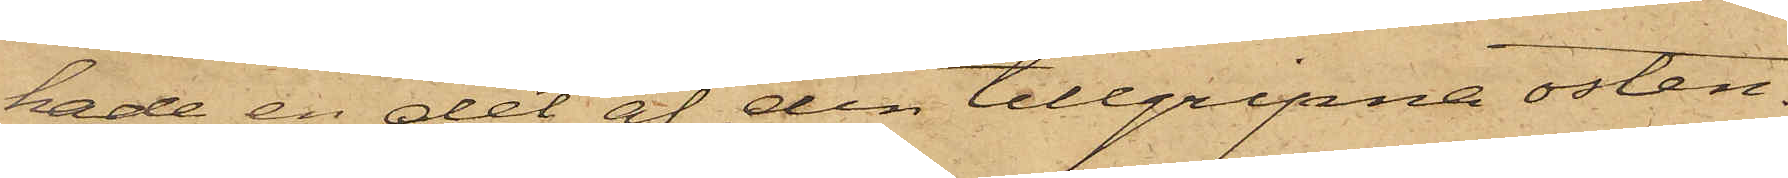hade en del af den tillgripne osten.
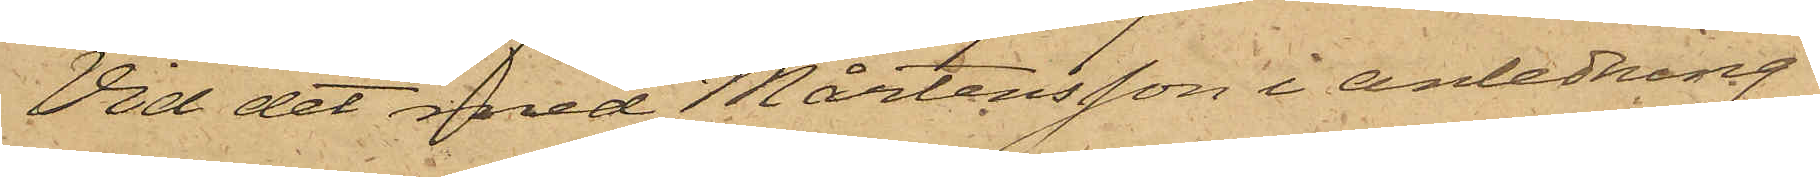Vid det med Mårtensson i anledning
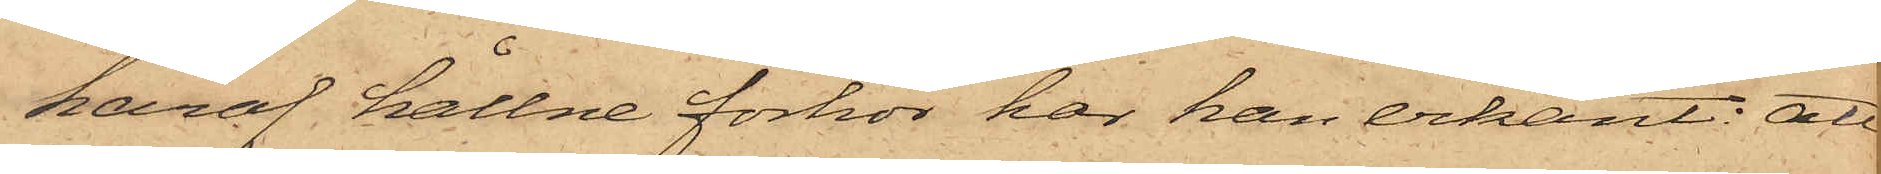häraf hållne förhör har han erkänt: att
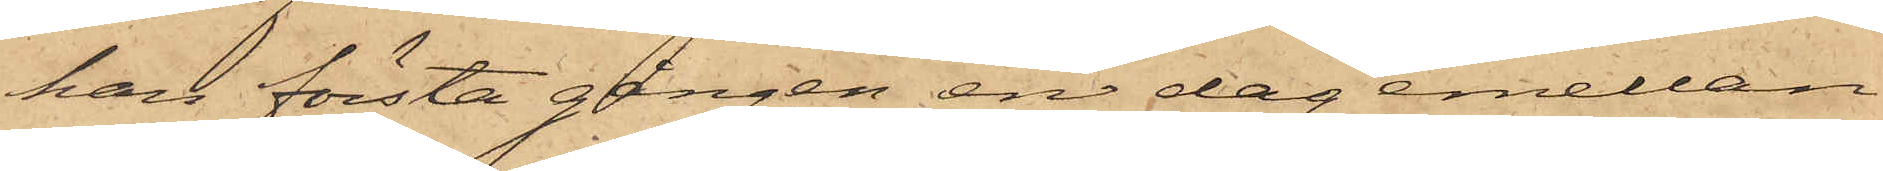han första gången en dag emellan
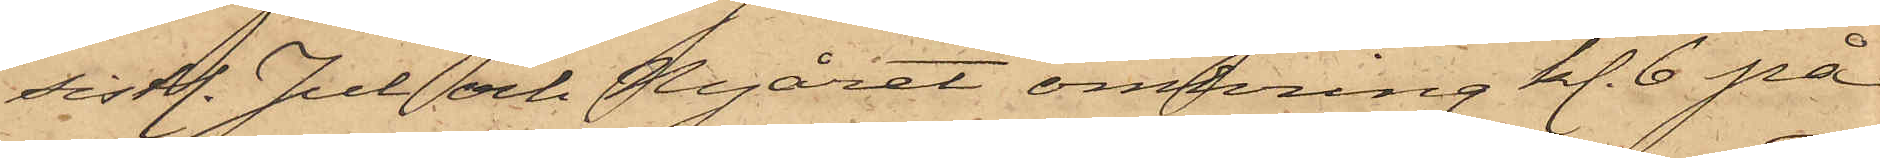sistl. Jul och Nyåret omkring kl. 6 på
